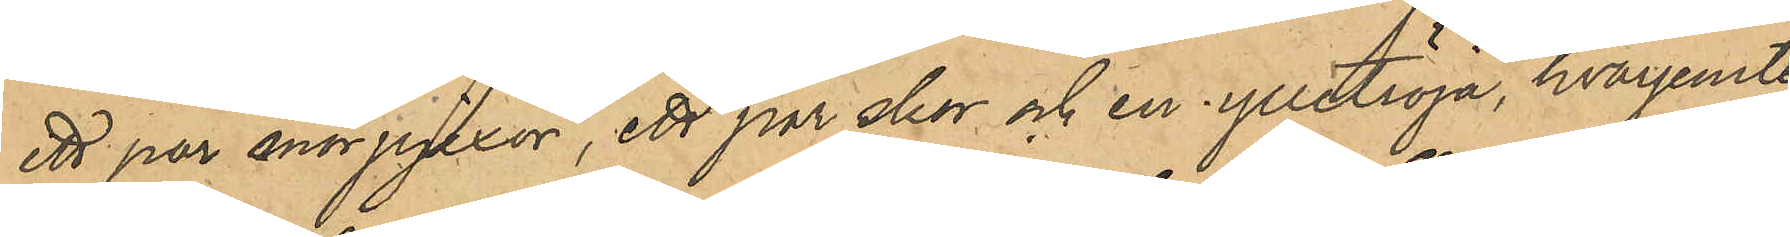ett par snörpjexor, ett par skor och en ylletröja, hvarjemte
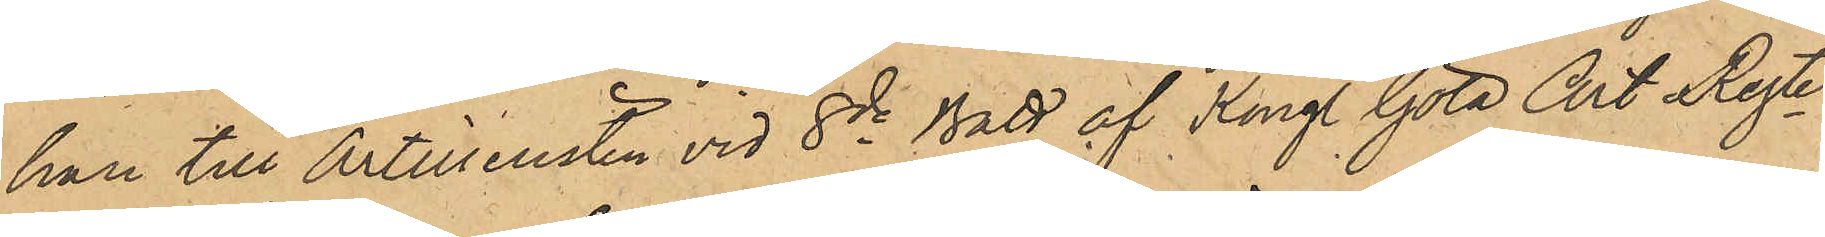han till Artilleristen vid 8de Batt af Kongl Göta Art Regte
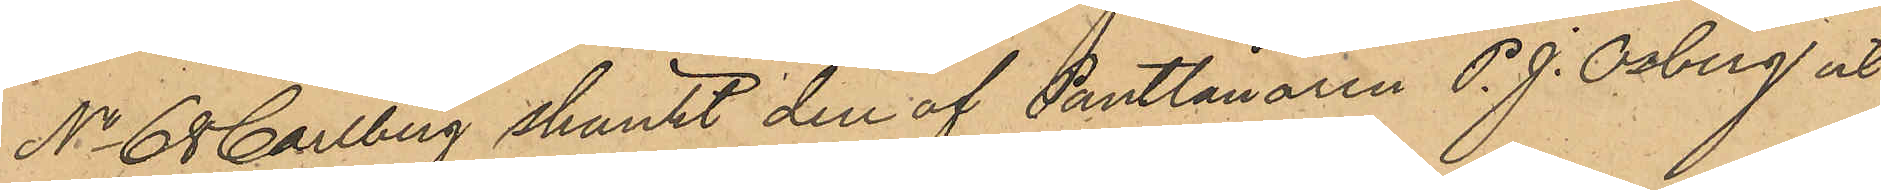No 68 Carlberg skänkt den af Pantlånaren P. J. Osberg ut¬
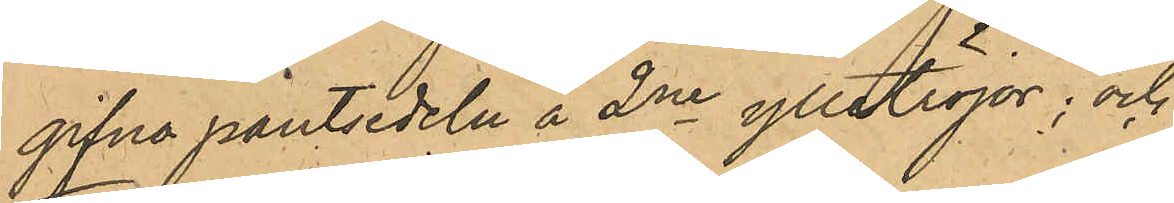gifna pantsedeln å 2ne ylletröjor; och
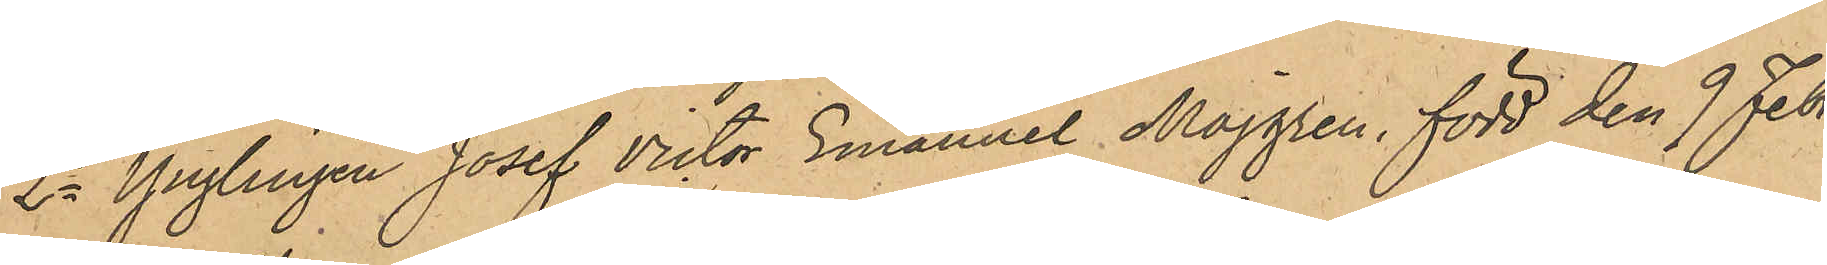2o Ynglingen Josef Victor Emanuel Majgren, född den 9 Febr.
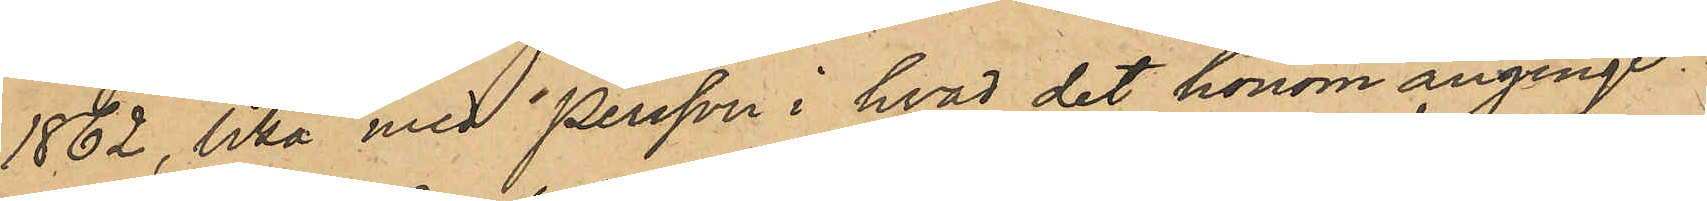1862, lika med Persson i hvad det honom anginge.
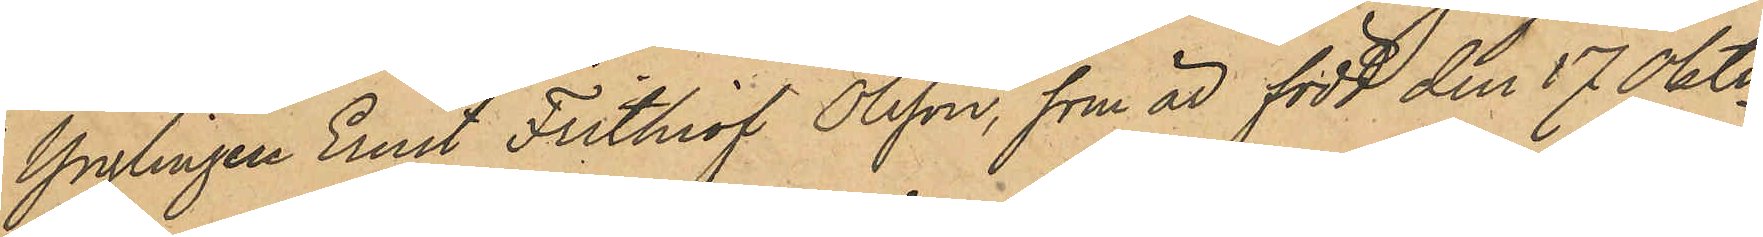Ynglingen Ernst Fritiof Olsson, som är född den 17 Oktr
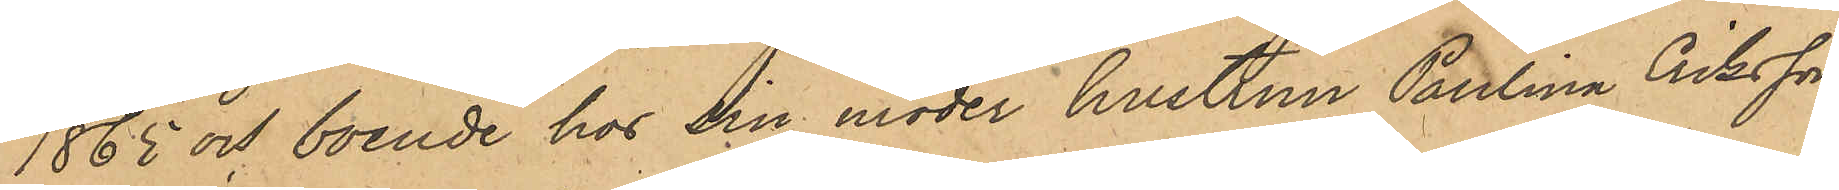1865 och boende hos sin moder hustrun Paulina Gibsson
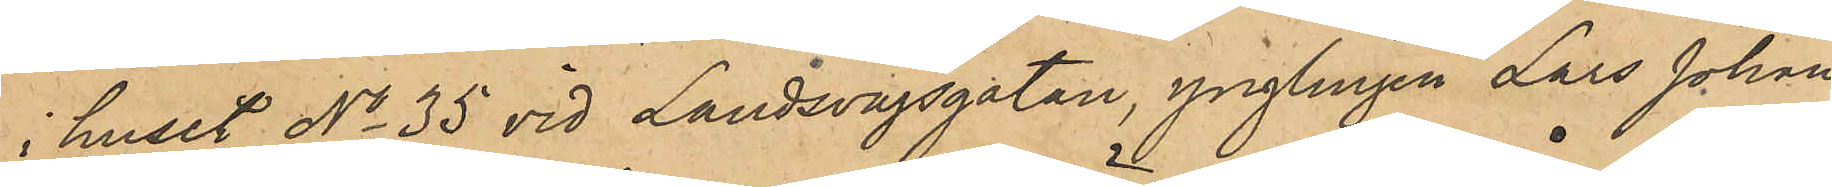i huset No 35 vid Landsvägsgatan, ynglingen Lars Johan
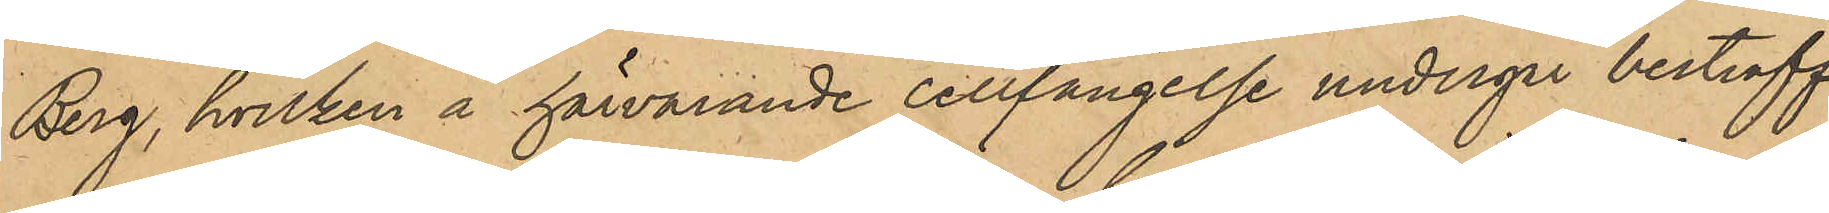Berg, hvilken å härvarande cellfängelse undergår bestraff¬
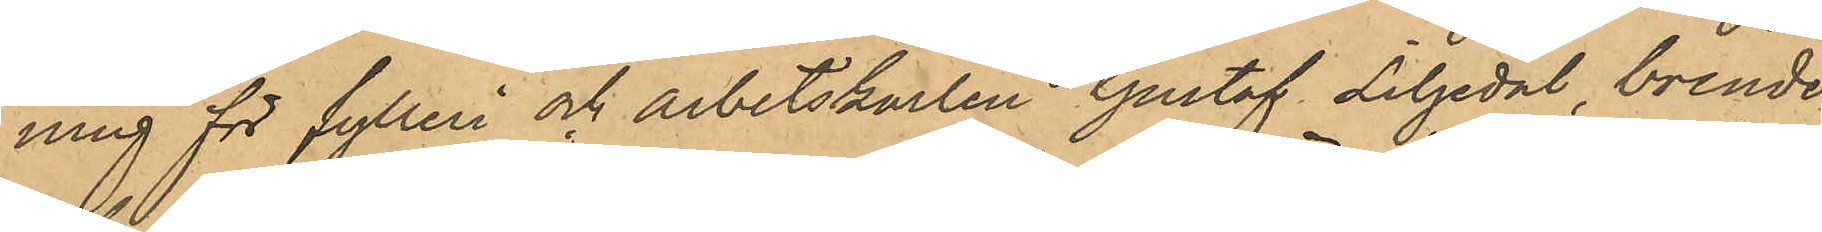ning för fylleri och arbetskarlen Gustaf Liljedal, boende
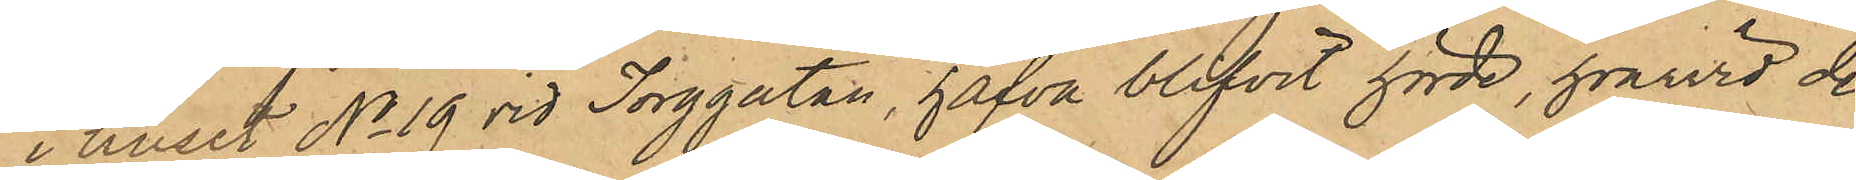i huset No 19 vid Torggatan, hafva blifvit hörde, hvarvid de
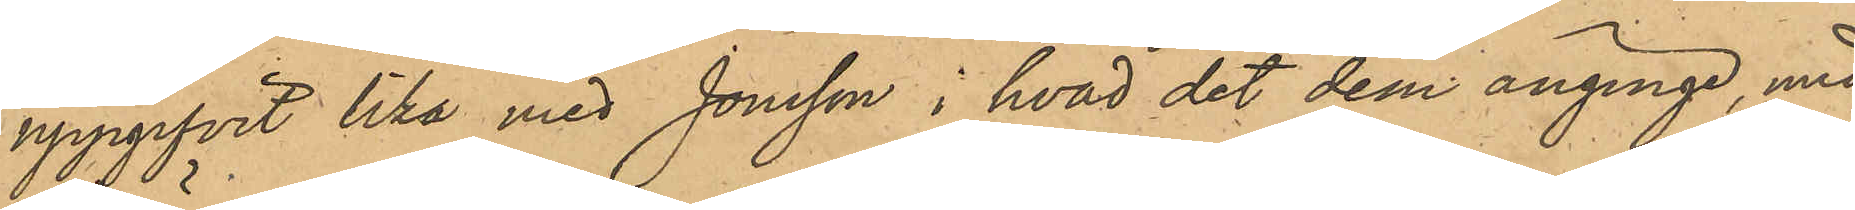uppgifvit lika med Jonsson i hvad det dem anginge, med
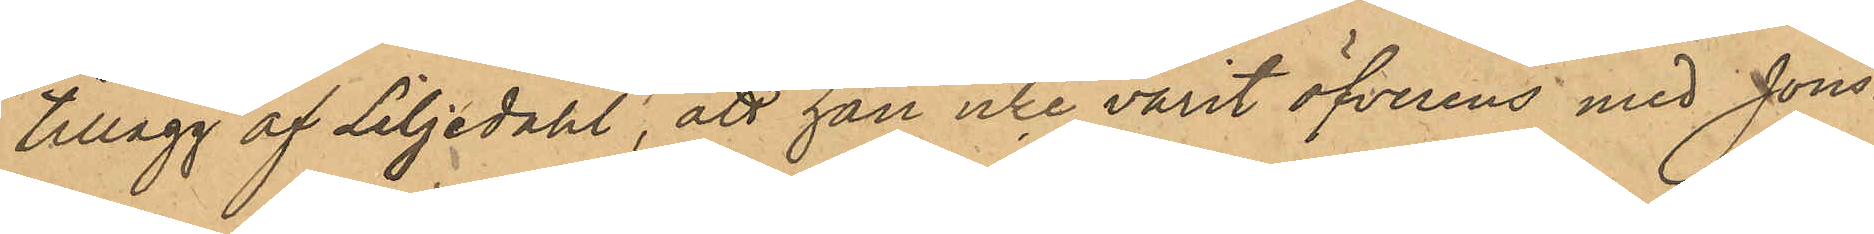tillägg af Liljedahl, att han icke varit överens med Jons¬
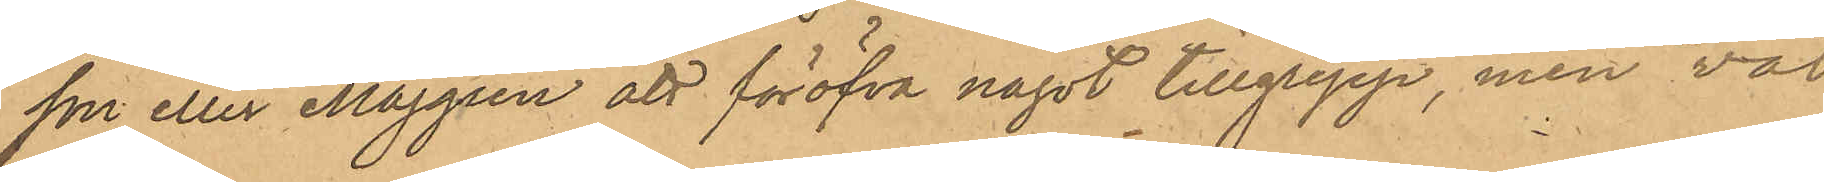son eller Majgren att föröfva något tillgrepp, men väl
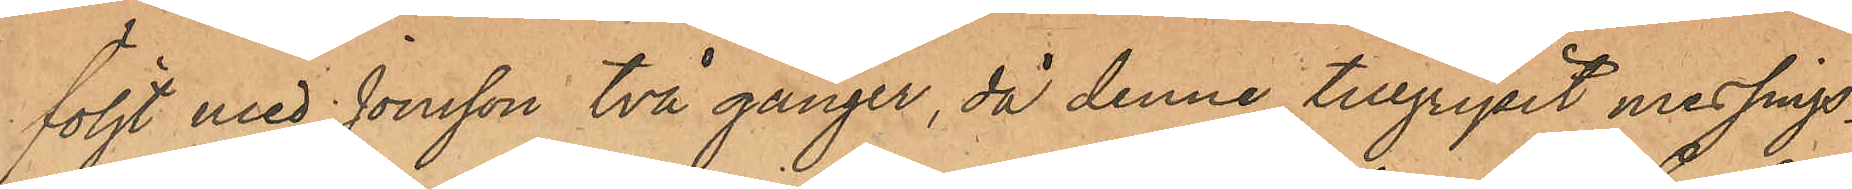följt med Jonsson två gånger, då denne tillgripit messings¬
